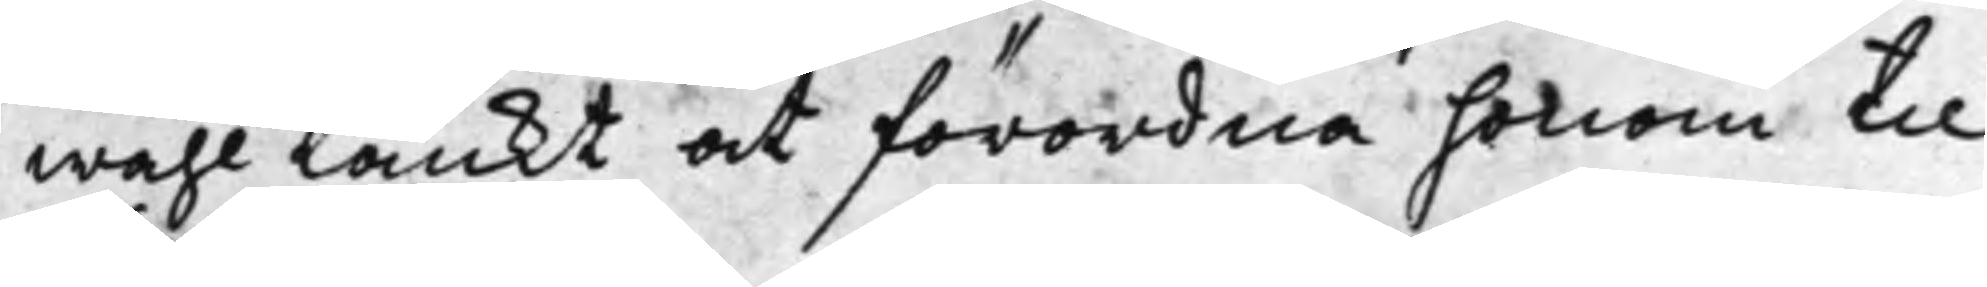wähl tänkt at förordna honom till
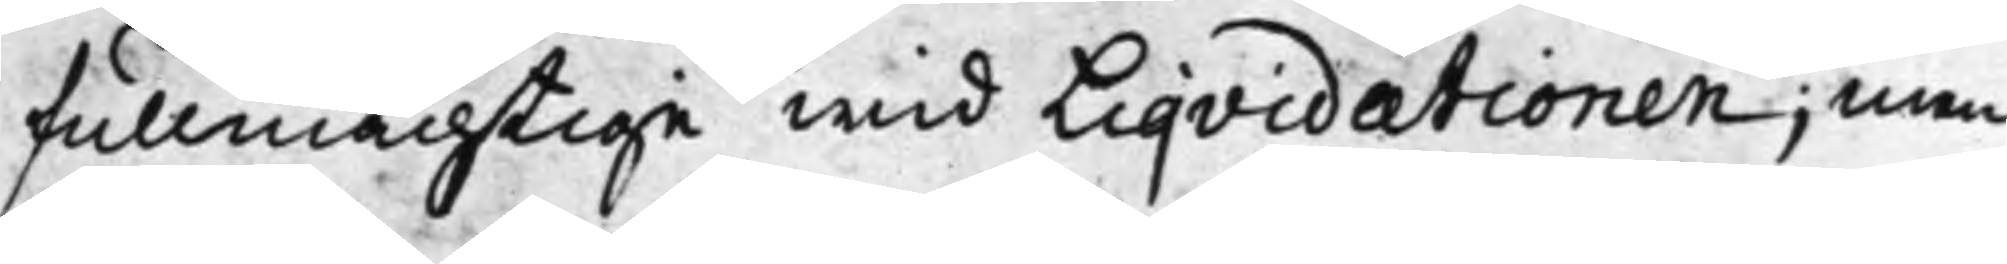fullmächtige wid Liqvidationen; Men
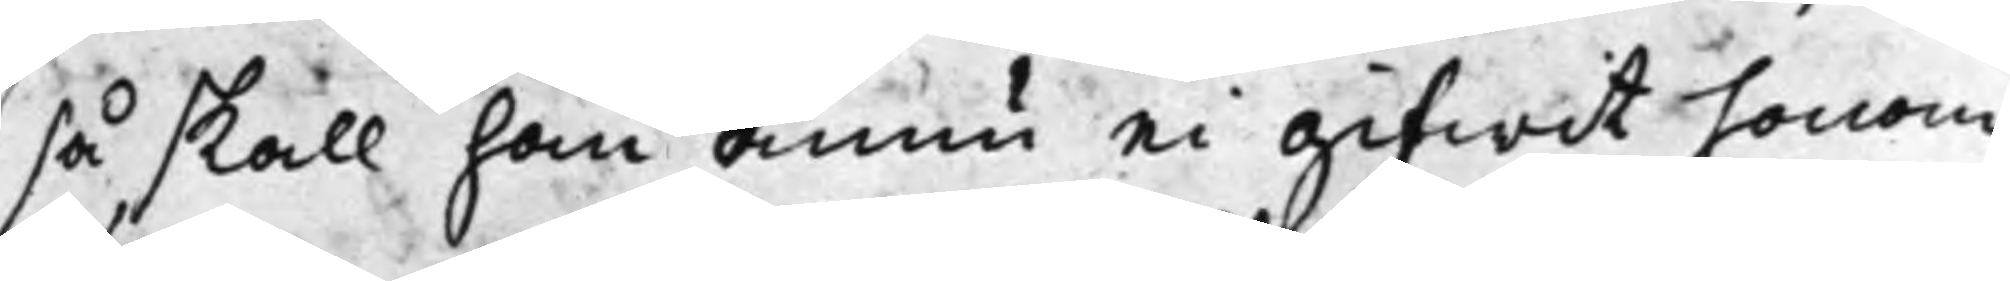så skall han ännu ei gifwit honom
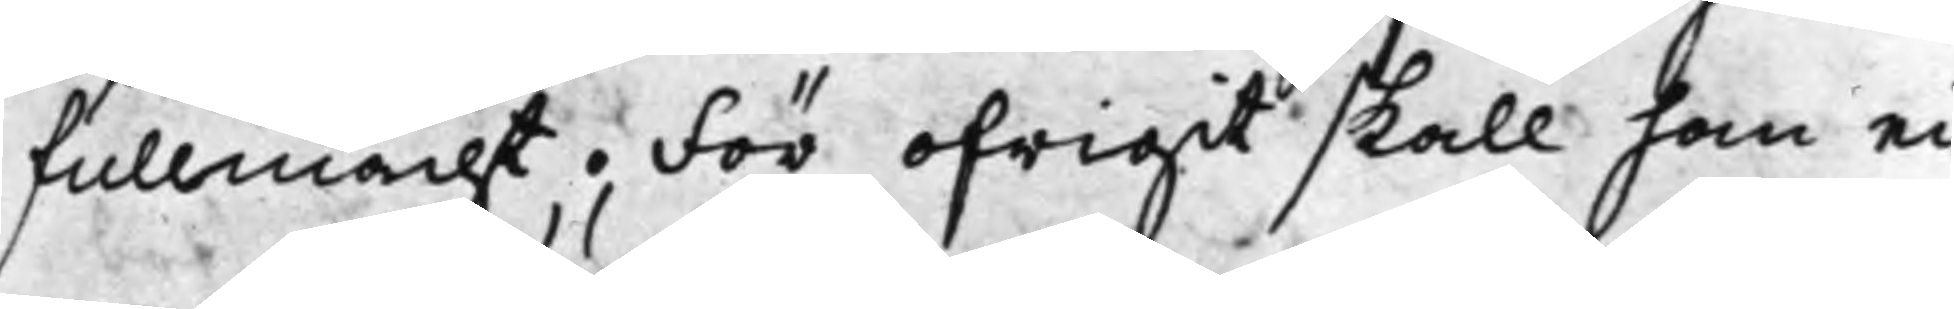fullmacht. För ofrigit skall han ei
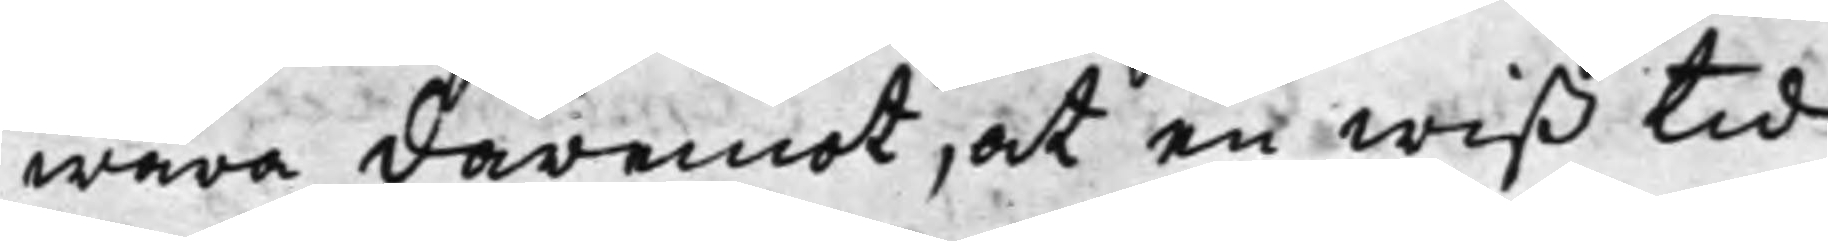wara däremot, at en wiß tid
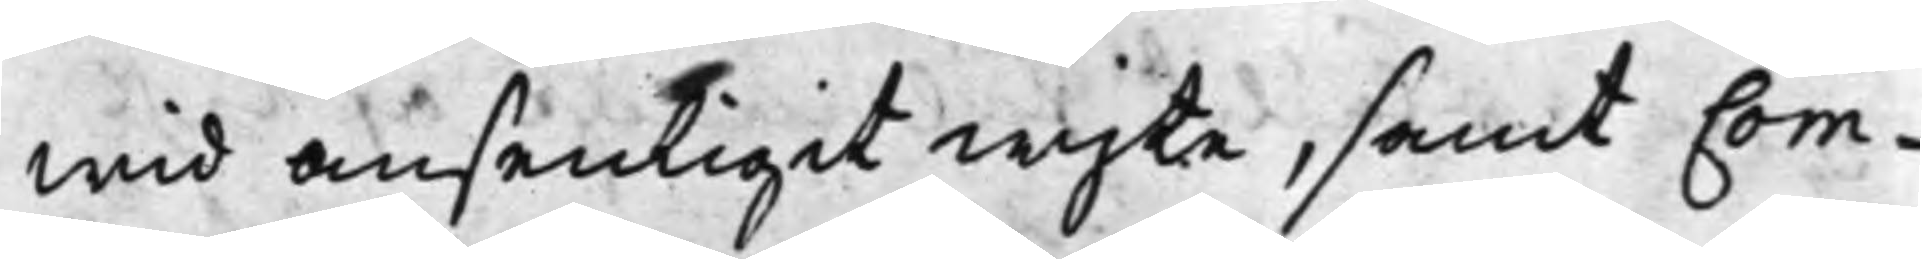wid ansenligit wjte, samt Com¬
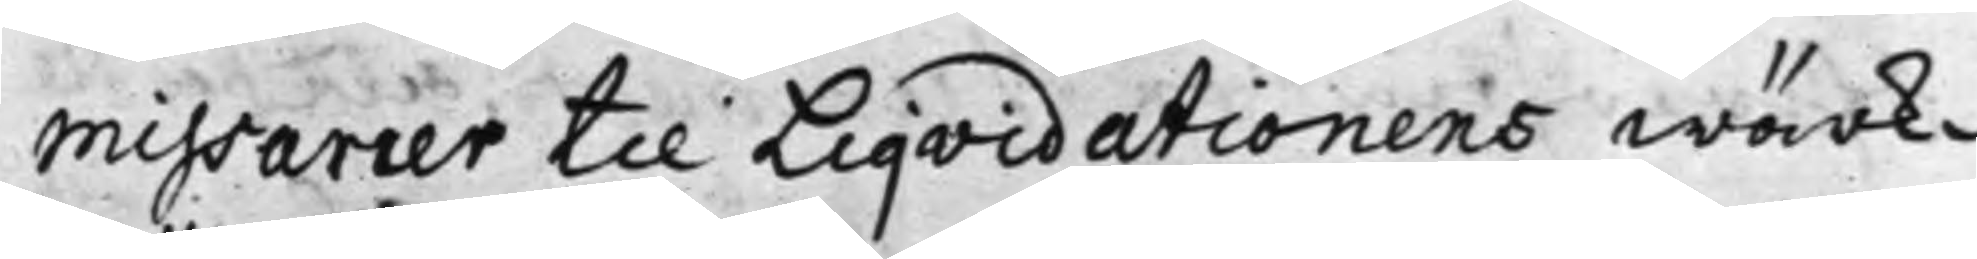missarier til Liqvidationens wärk¬
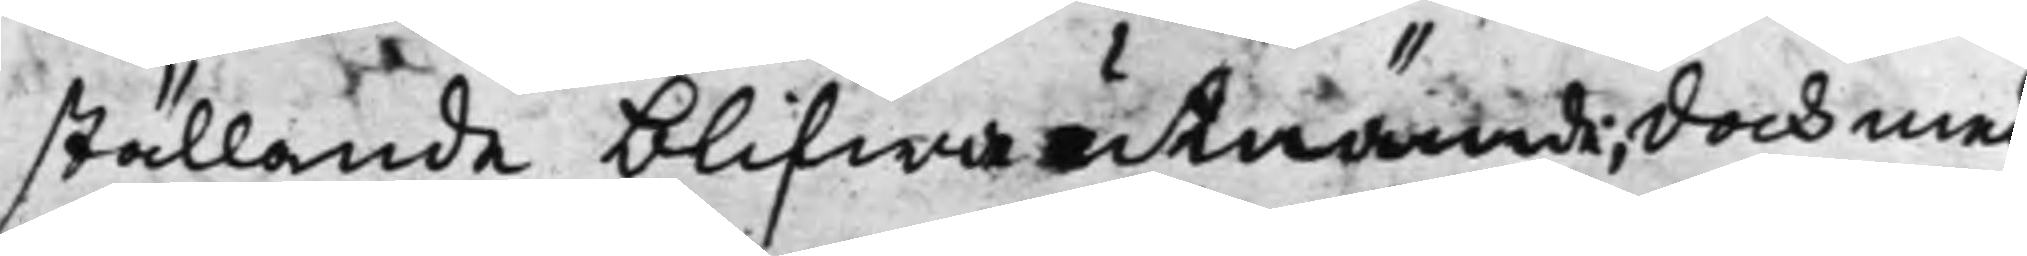ställande blifwa utnämde; doch med
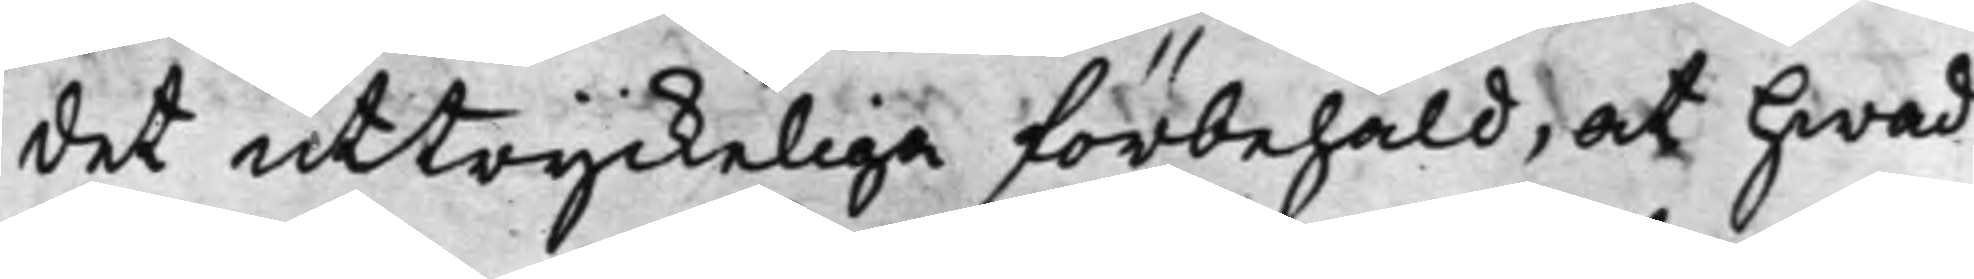det uttryckeliga förbehåld, at hwad
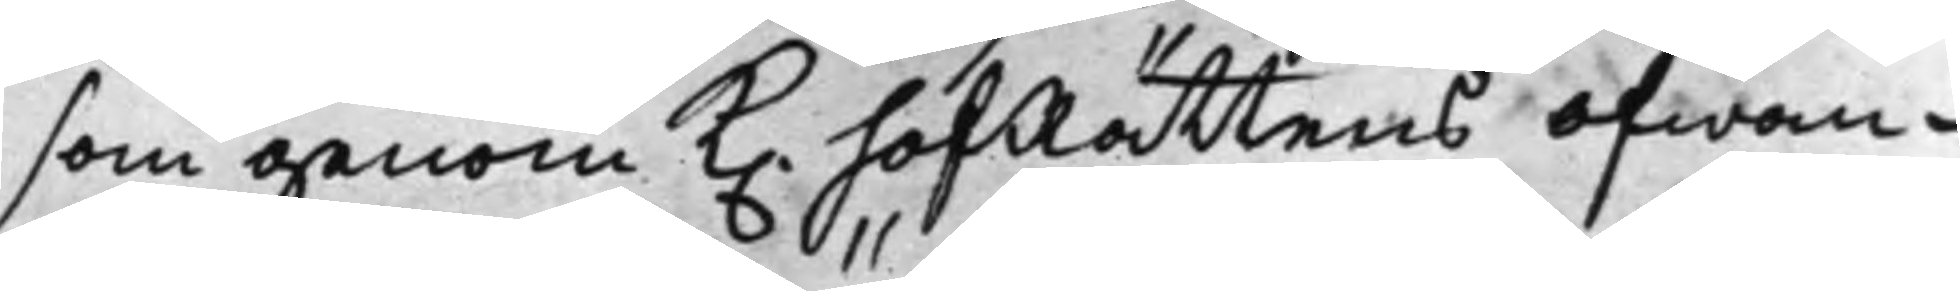som genom K. hofRättens ofwan¬
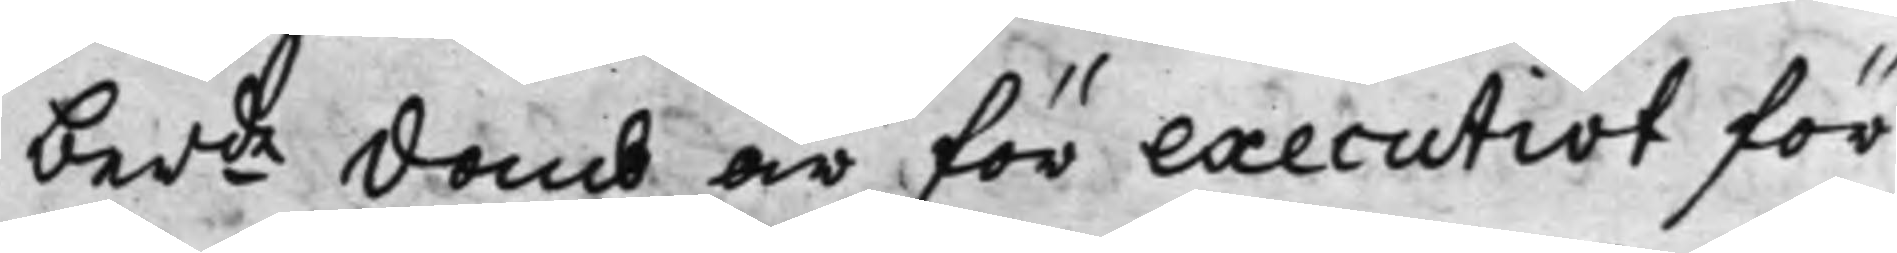berde domb är för executivt för
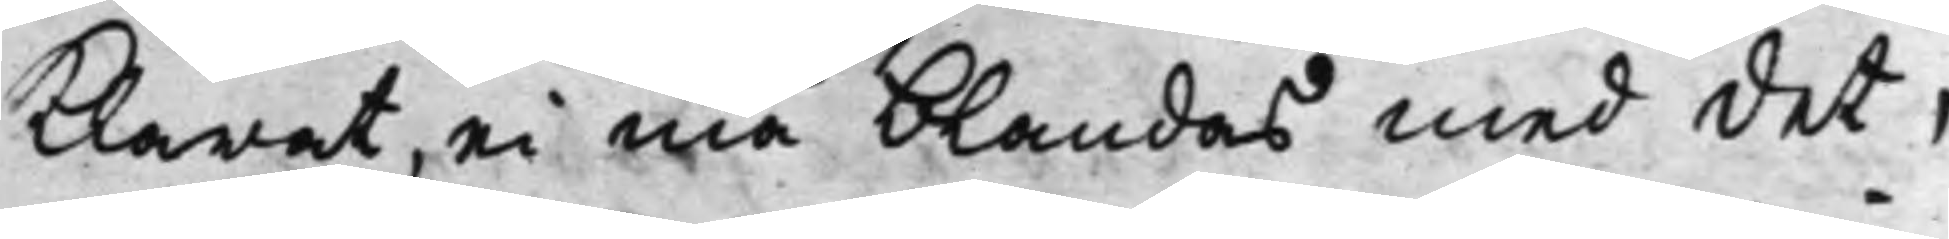klarat, ei må blandas med det,
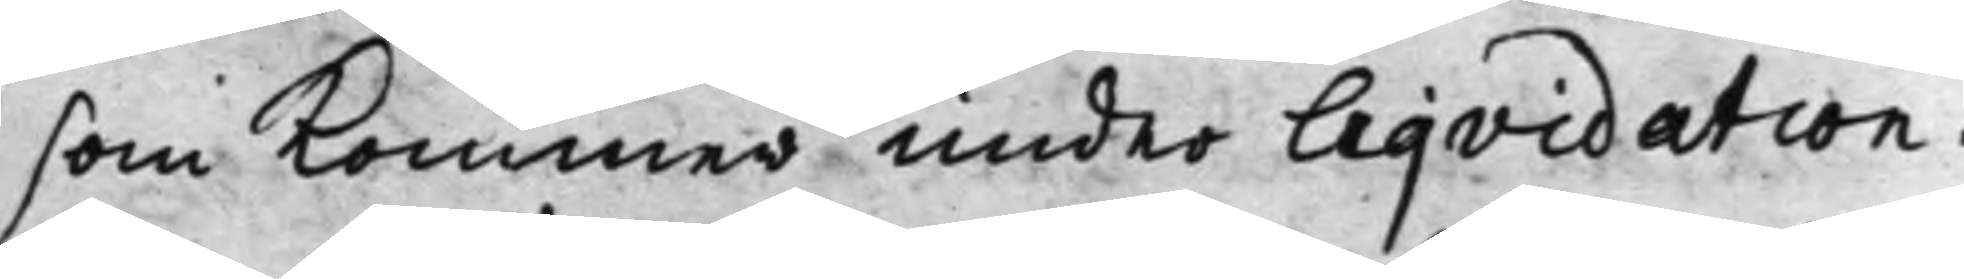som kommer under Liqvidation.
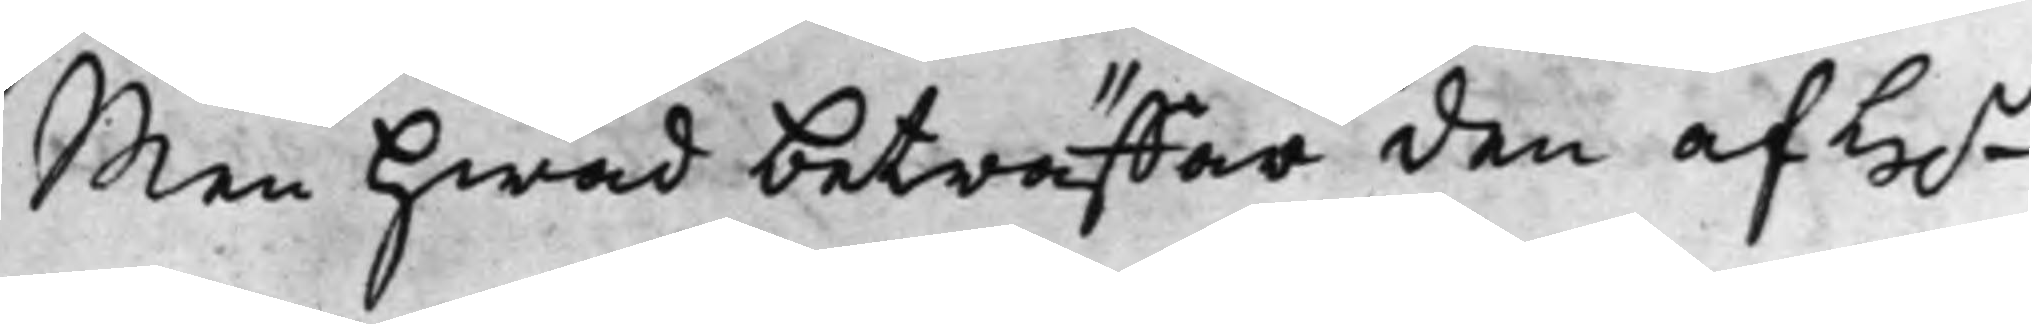Men hwad beträffar den af H.r
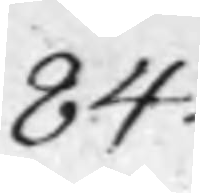84.
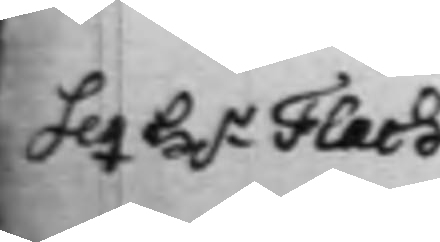Seq H.r Flach
